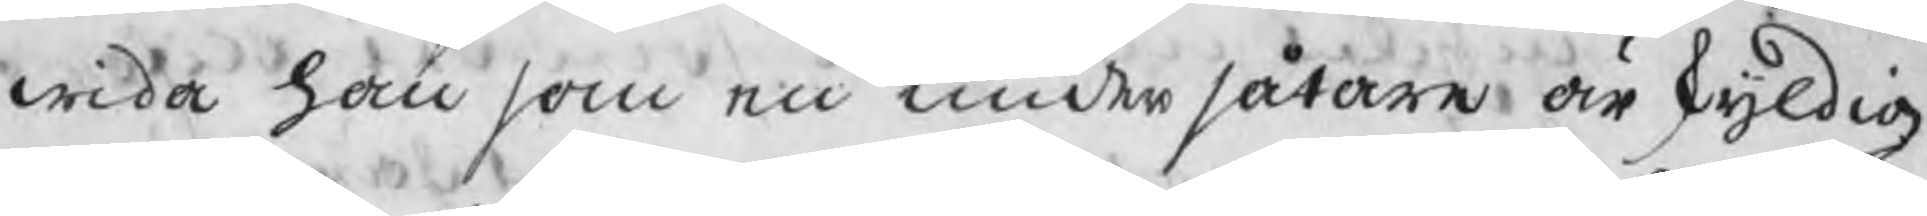wida han som en undersåtare är skyldig
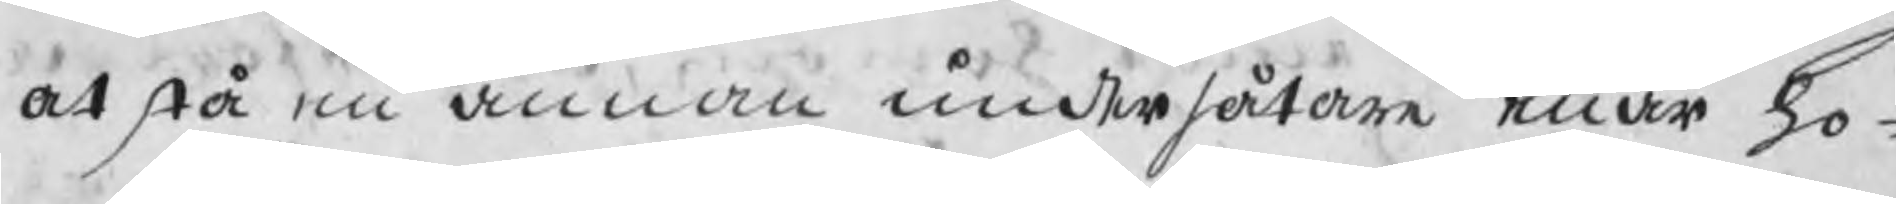at stå en annan undersåtare enär ho¬
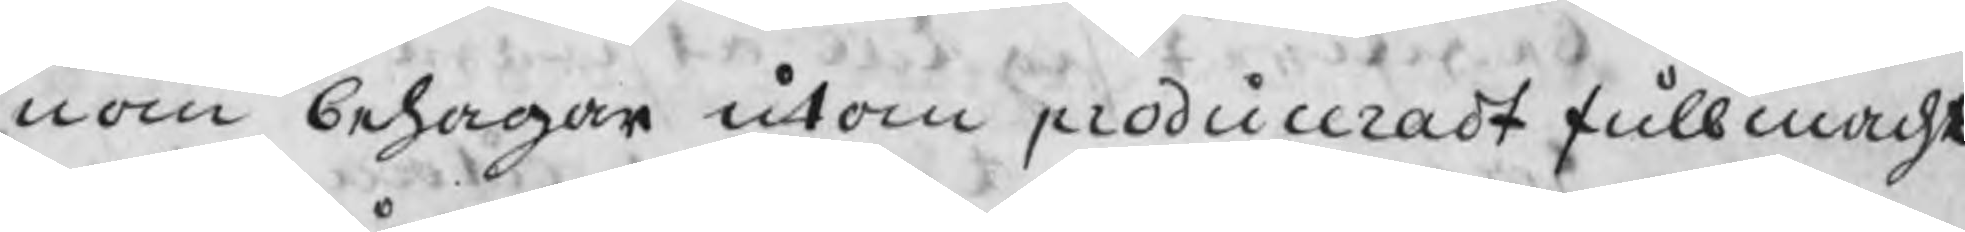nom behagar utom produceradt fullmacht
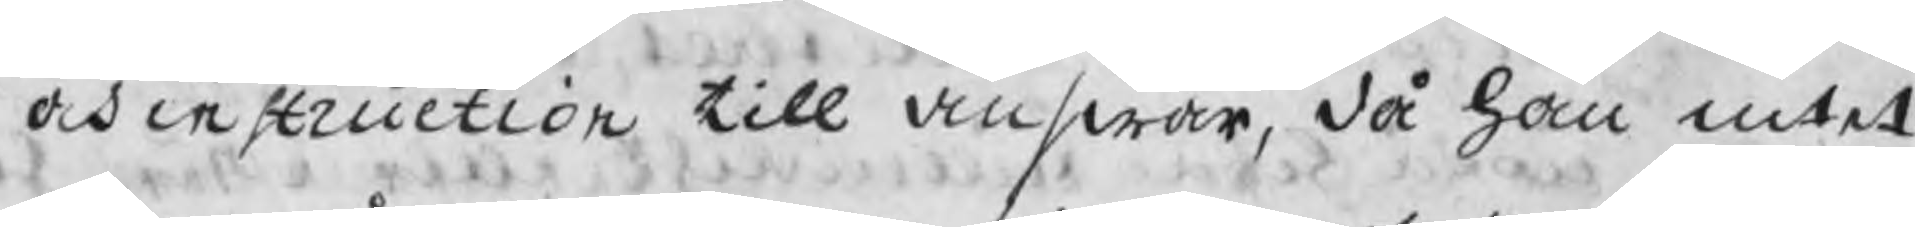och instruction till answar, då han intet
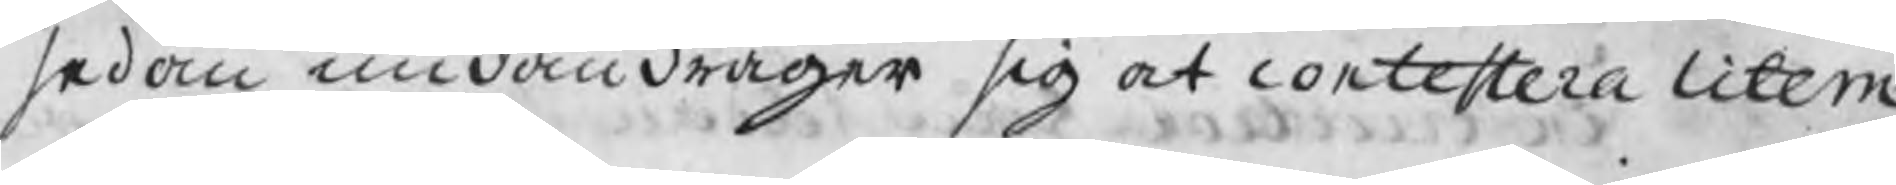sedan undandrager sig at contestera litem
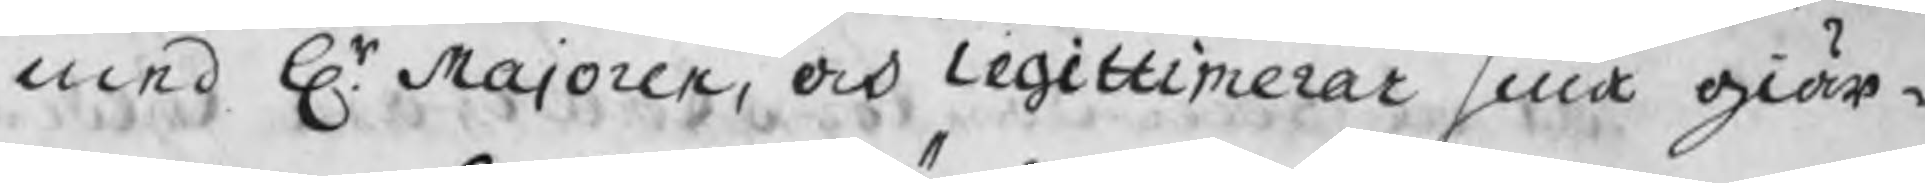med Hr. Majoren, och Legittimerar sina giär¬
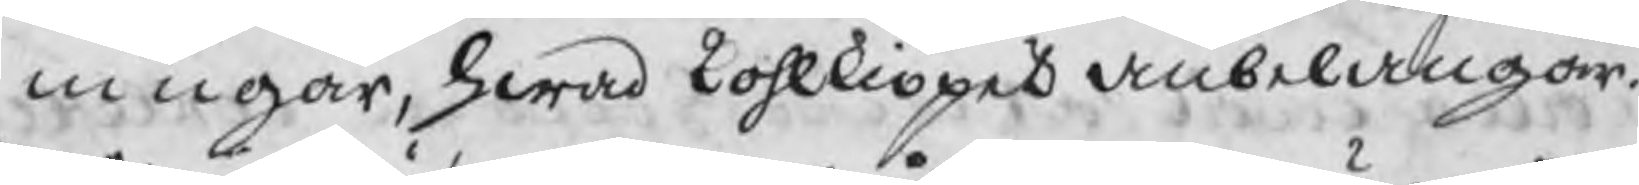ningar, hwad kohlkiöpet anbelangar.
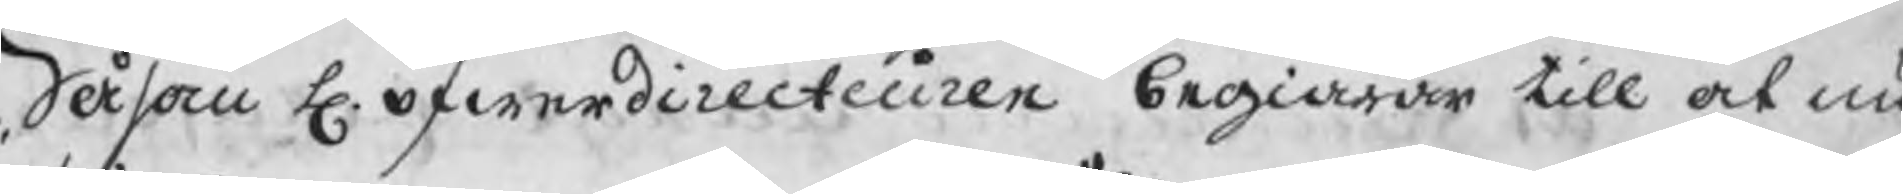Såsom H. öfwerdirecteuren begiärar till at nu
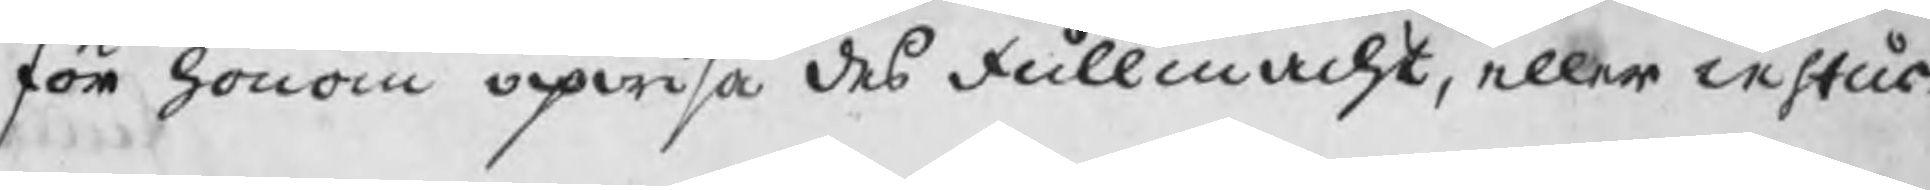för honom upwisa des fullmacht, eller instus
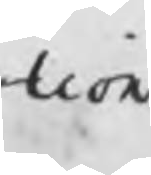tion
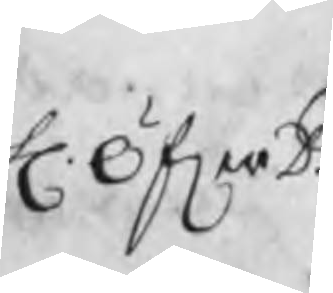H. ÖferD.
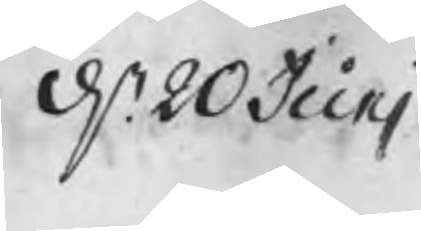d. 20 Junj
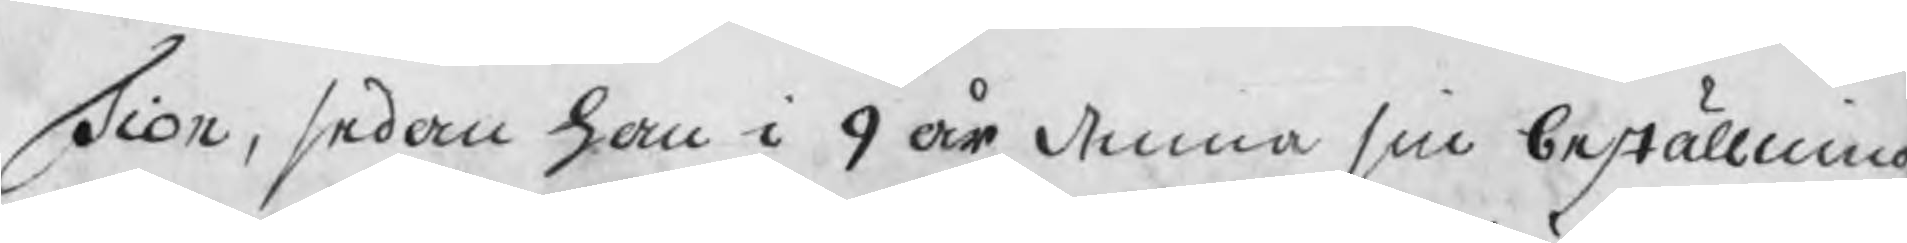Tion, sedan han i 9 år denna sin beställning
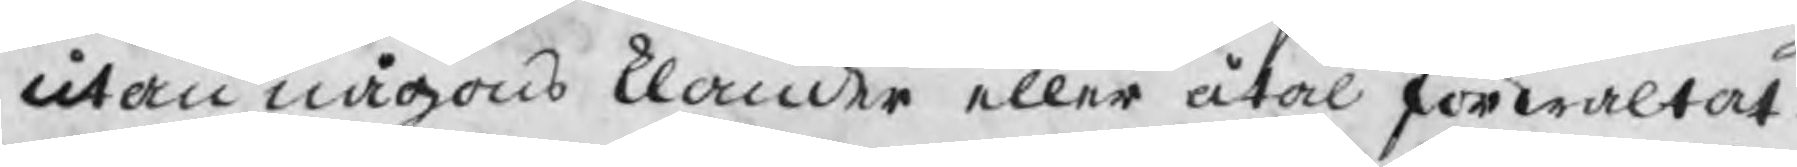utan någons klander eller åtal förwaltat.
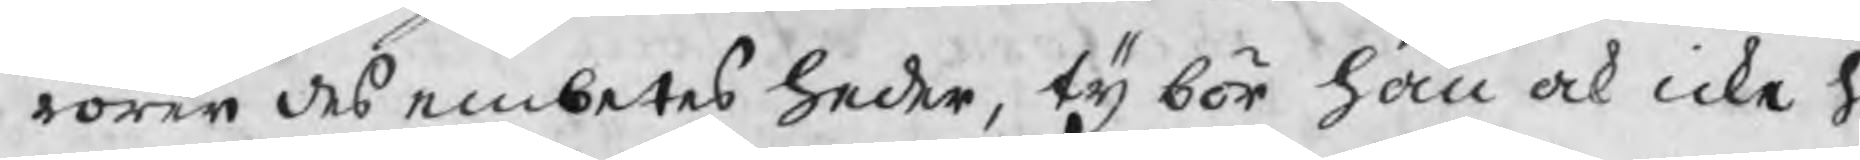rören des embetes heder, ty bör han ock icke h
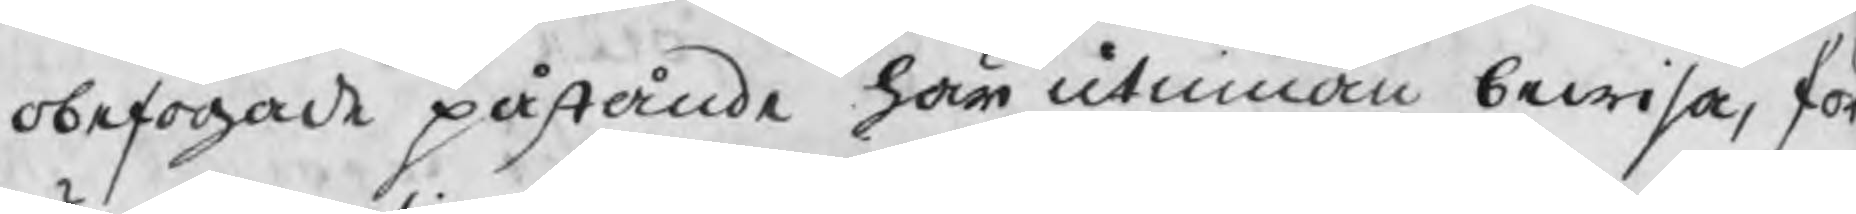obefogade påstående här utinnan bewisa, för
